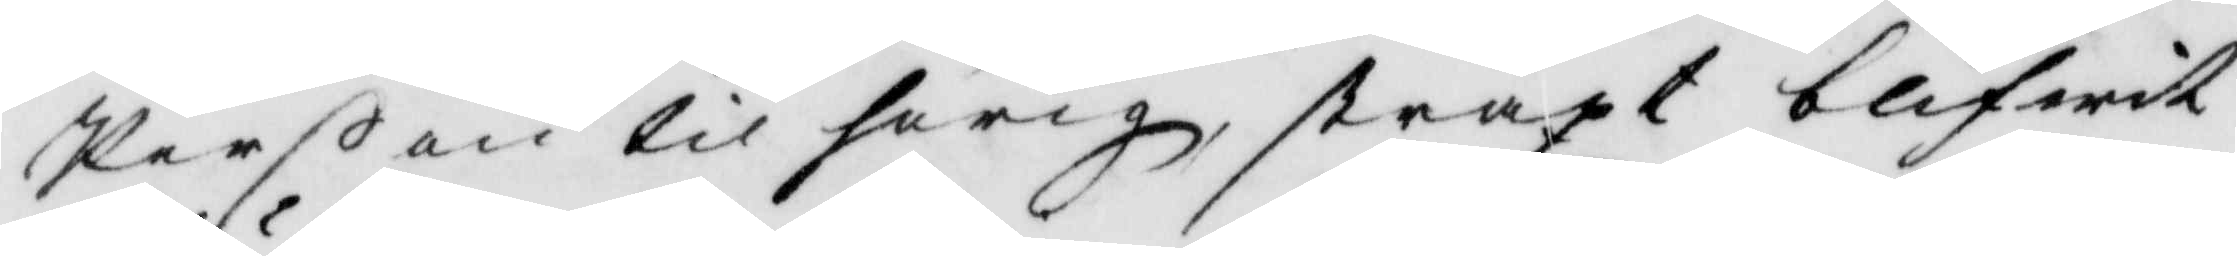Perßon tilhörig straxt blifwit
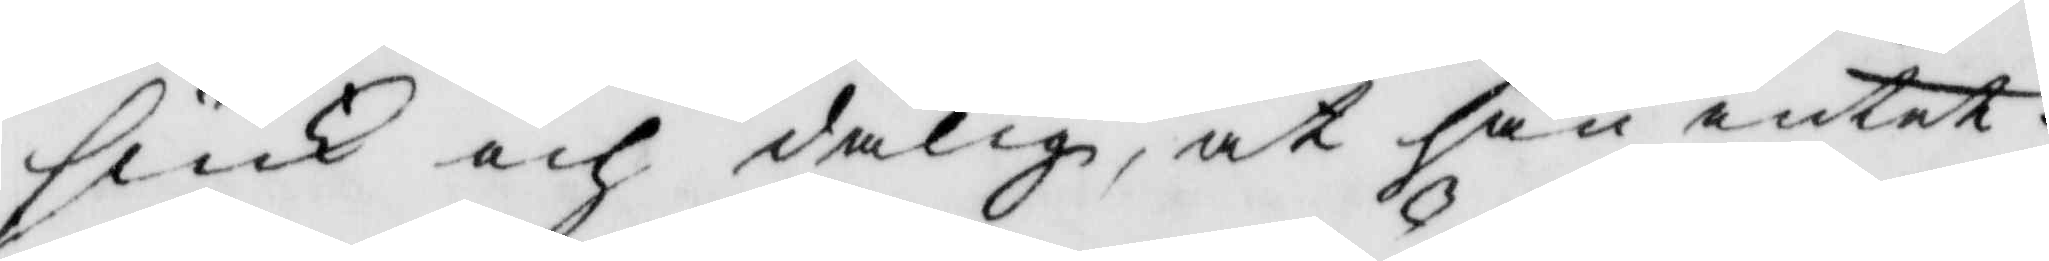siuk och dålig, at han intet
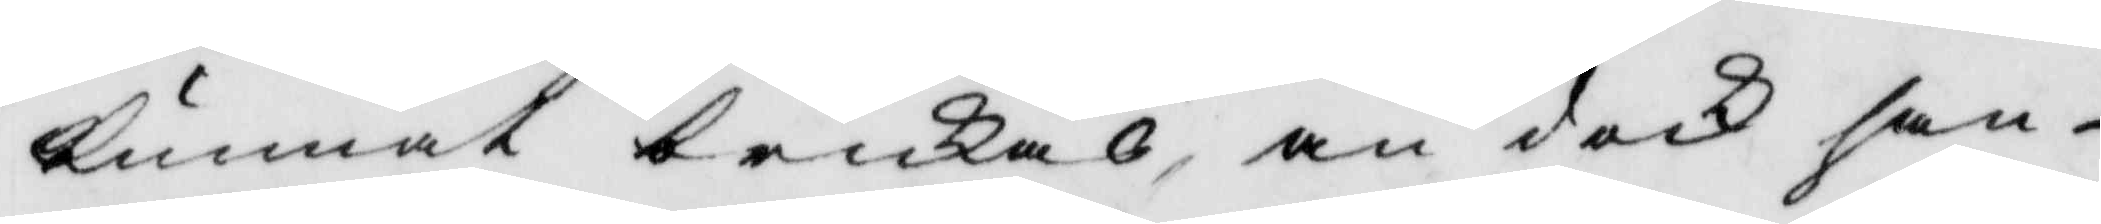kunnat brukas, än dock han
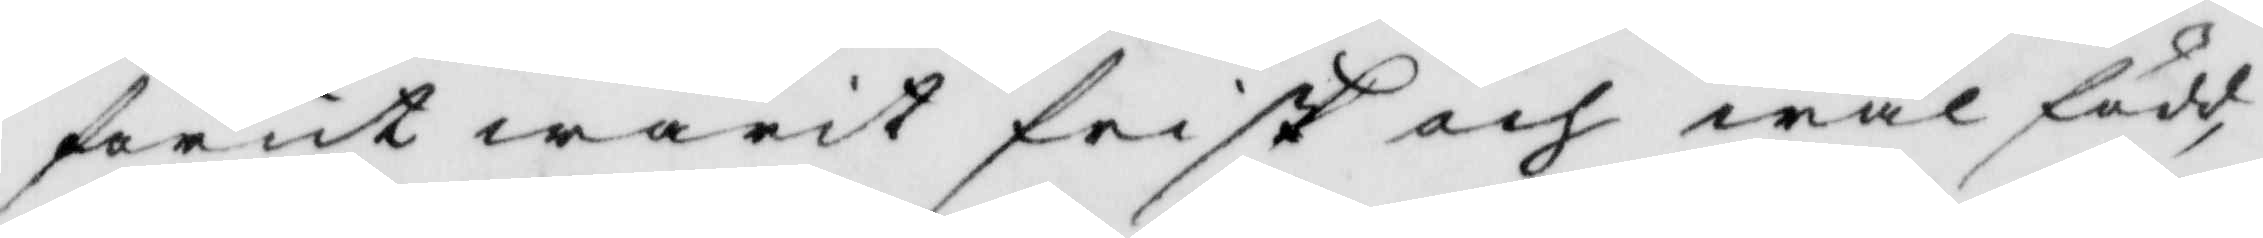förut warit frisk och wäl född,
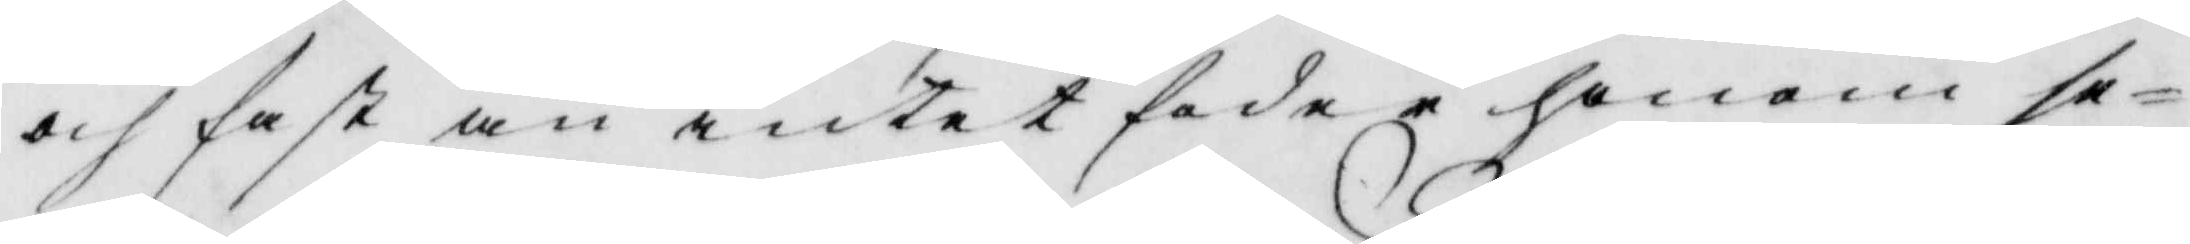och fast än intet hade i honom se¬
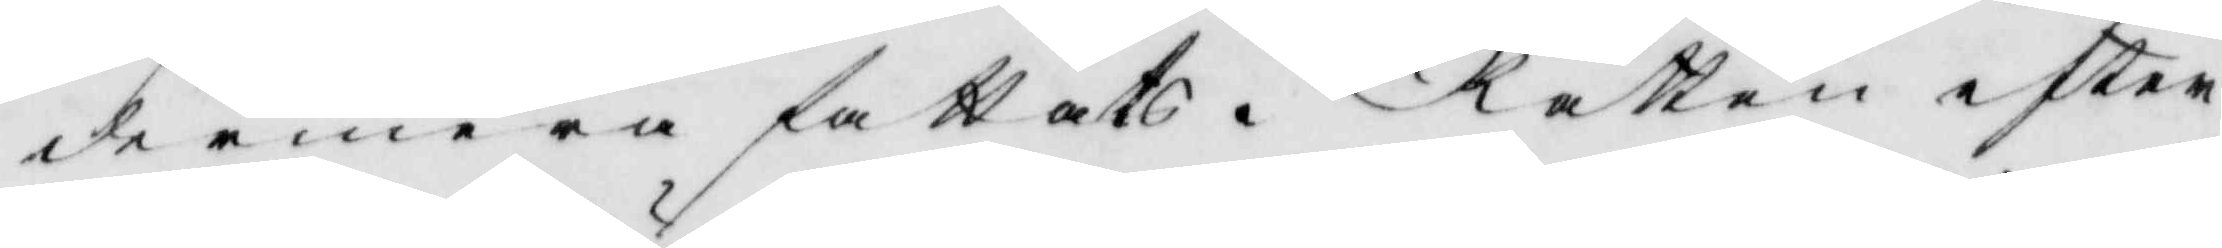dermera fattats. Rätten efter¬
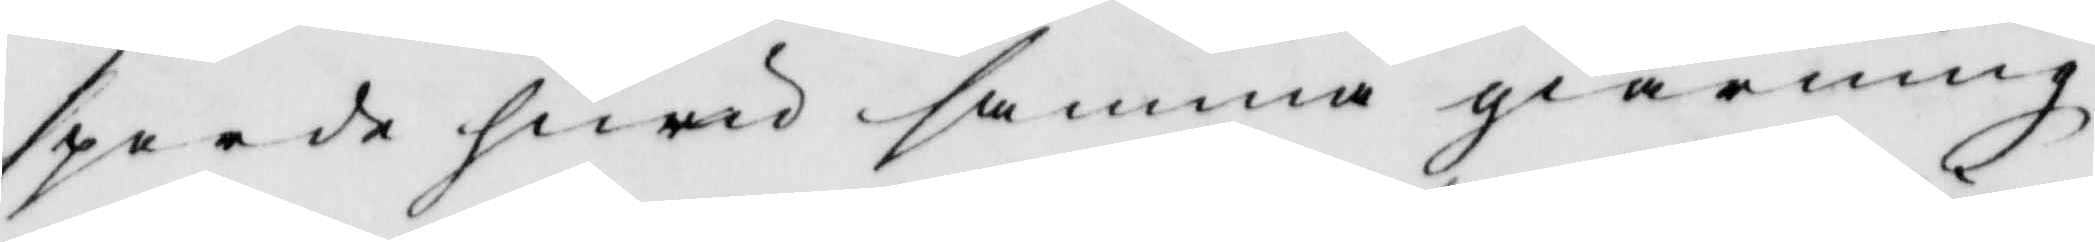sporde huru samma giärning,
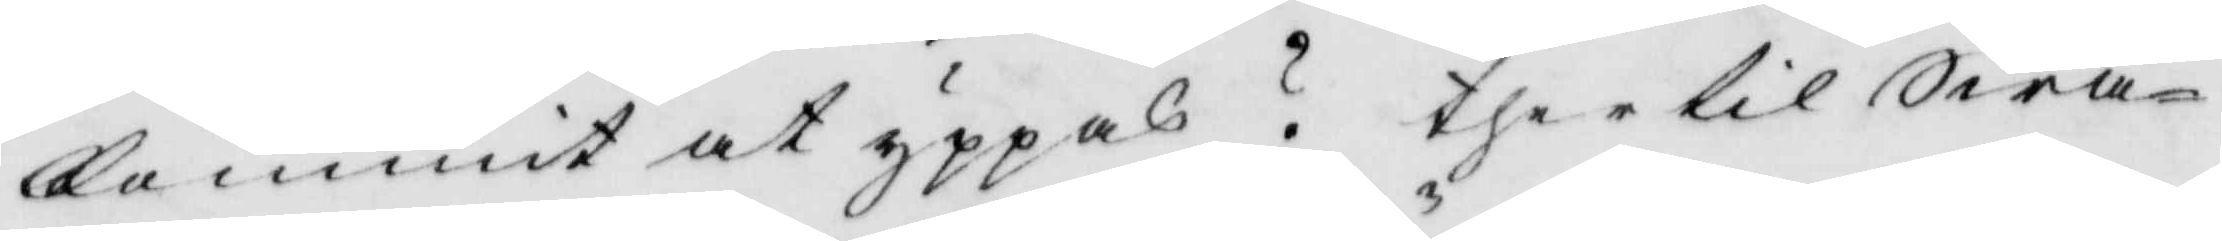kommit at yppas? ther til Swa¬
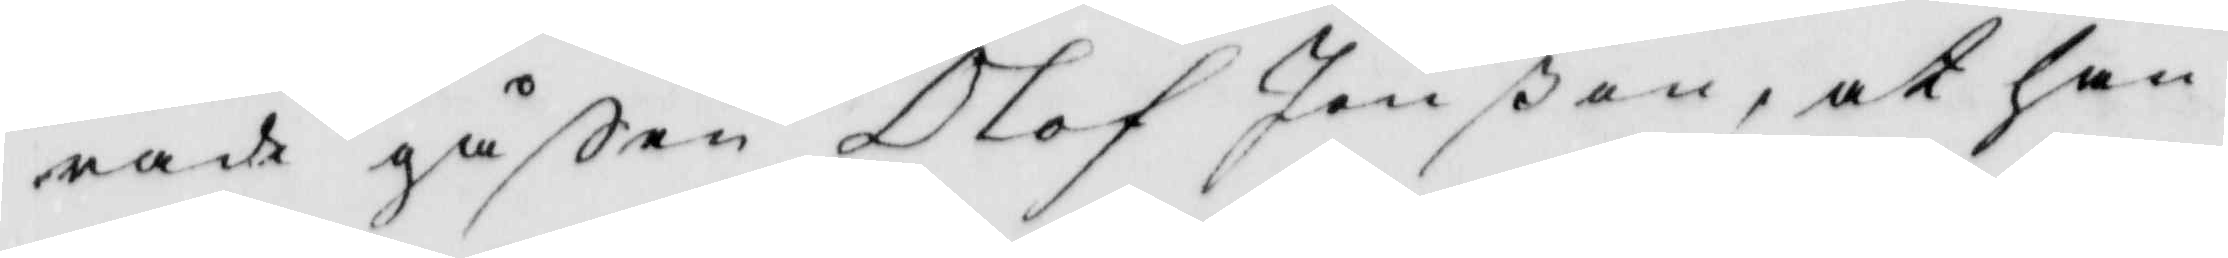rade gåßen Olof Jönßon, at han
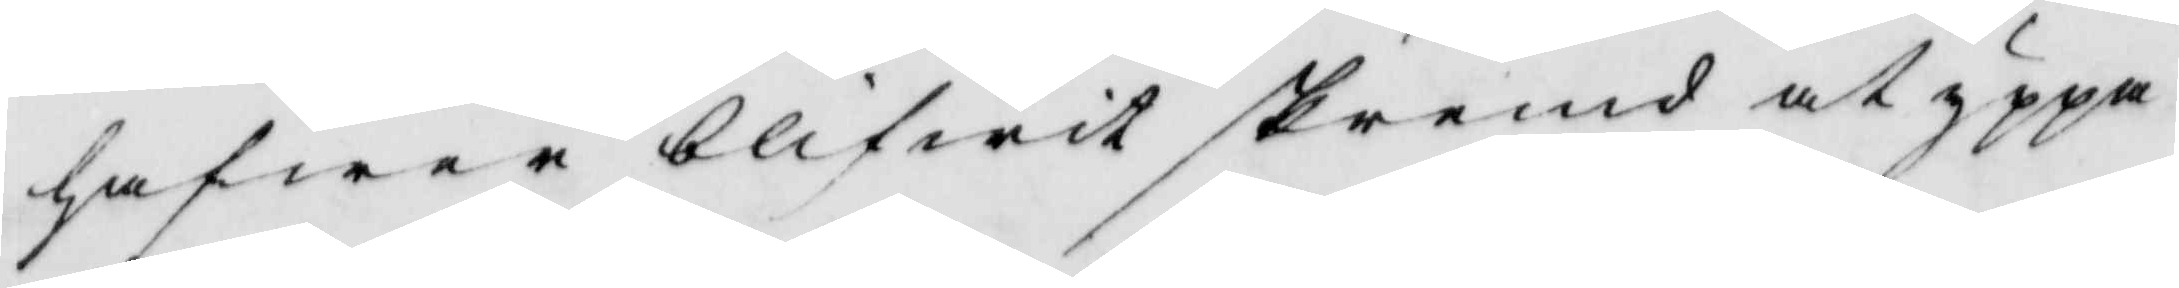hafwer blifwit skremd at yppa
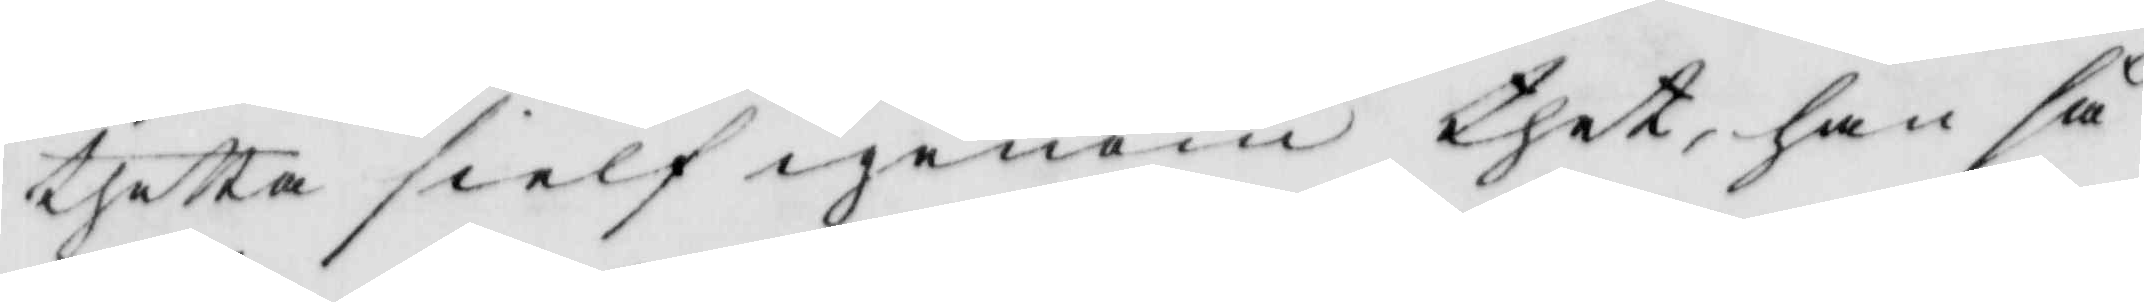thetta sielf igenom thet han så
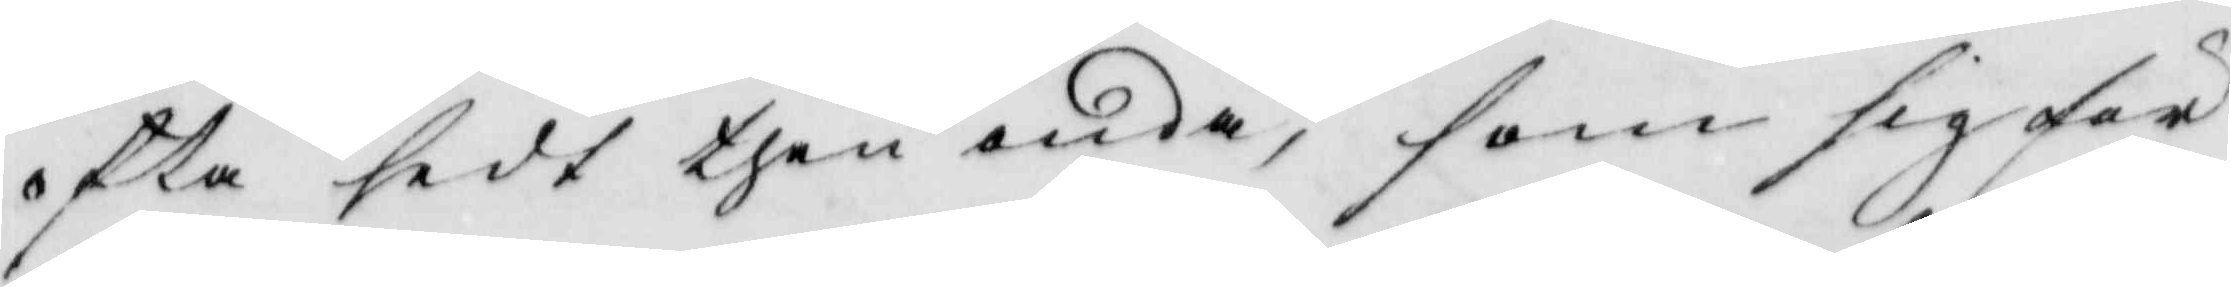ofta sedt then onda, som sig för
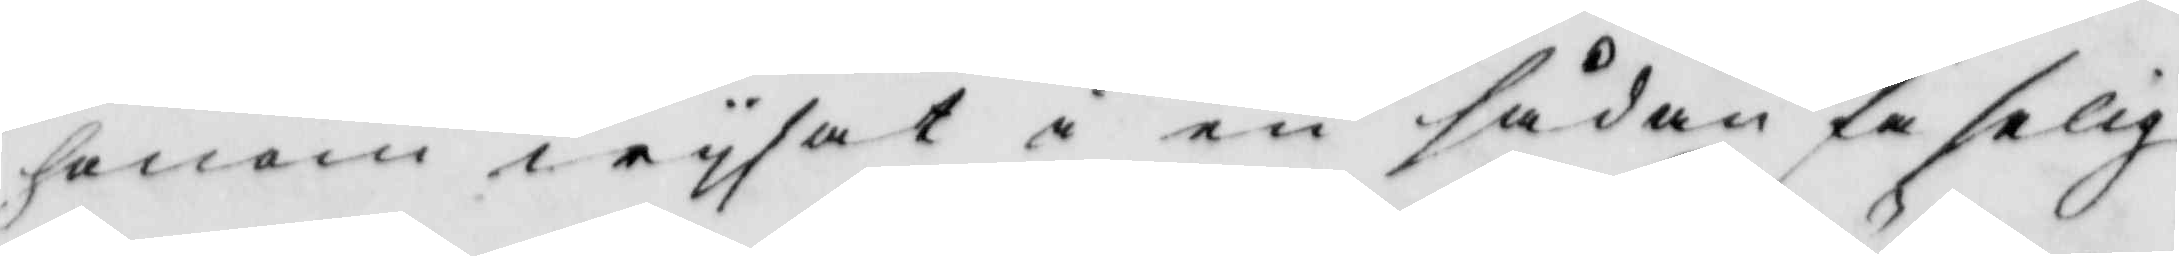honom wysat i en sådan faselig
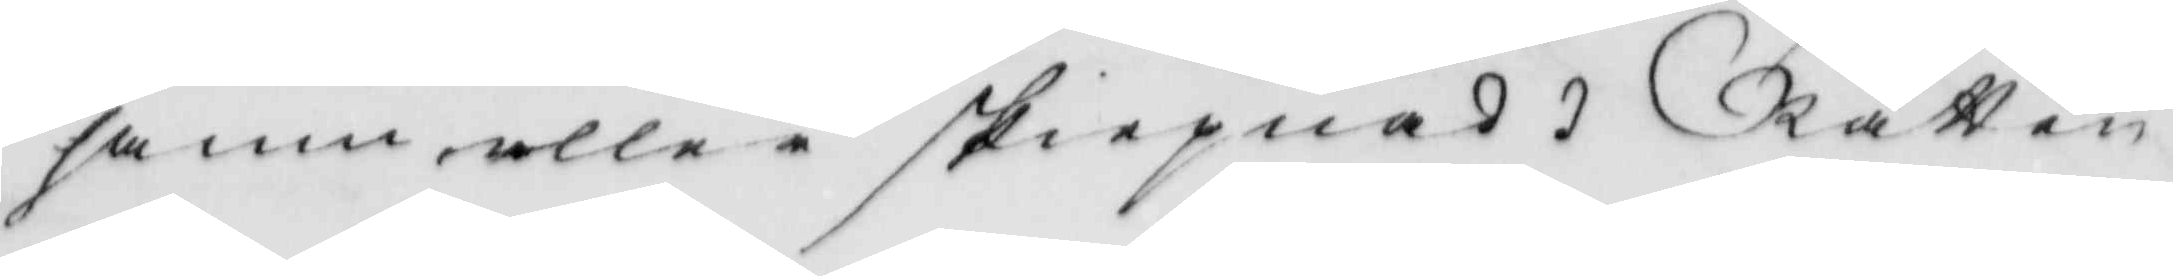famn eller skiepnad. Rätten
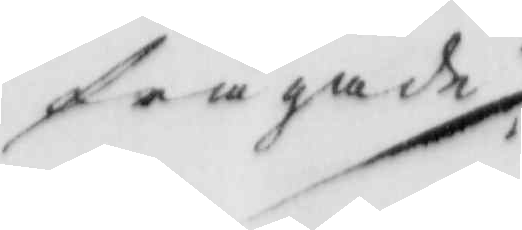frågade
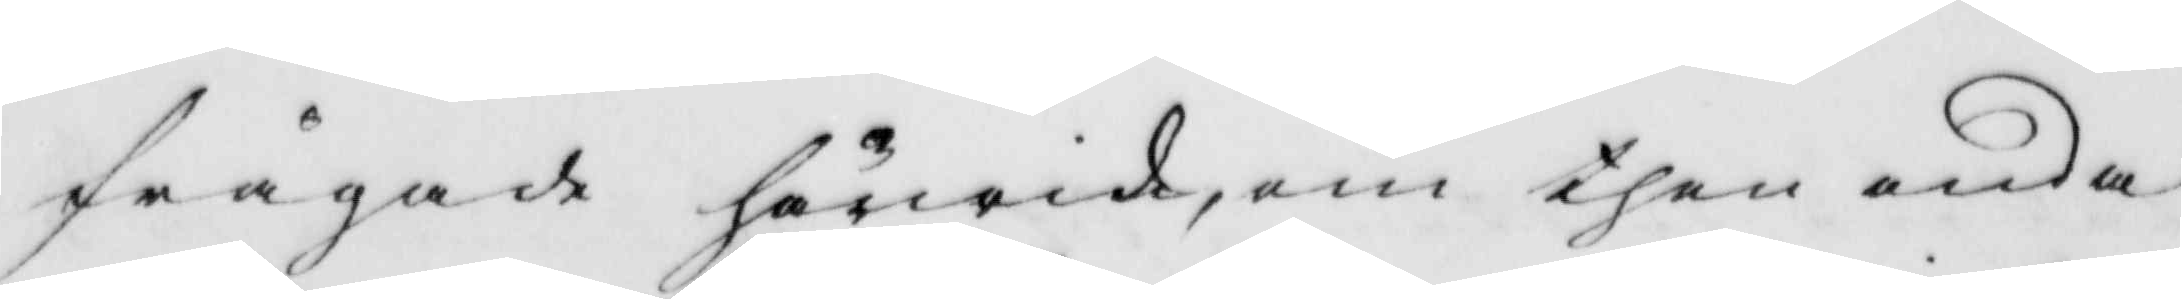frågade härwid, om then onda
